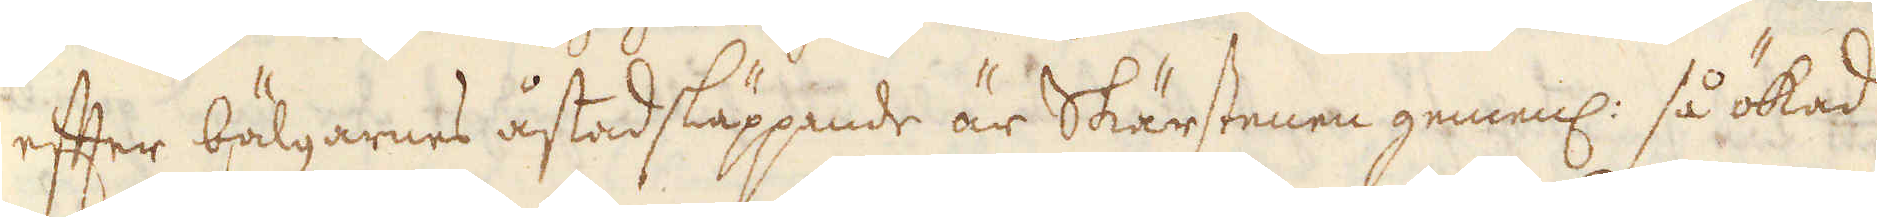efter bälgarnes åstadsläppande är Skärstenen gemenl: så ökad
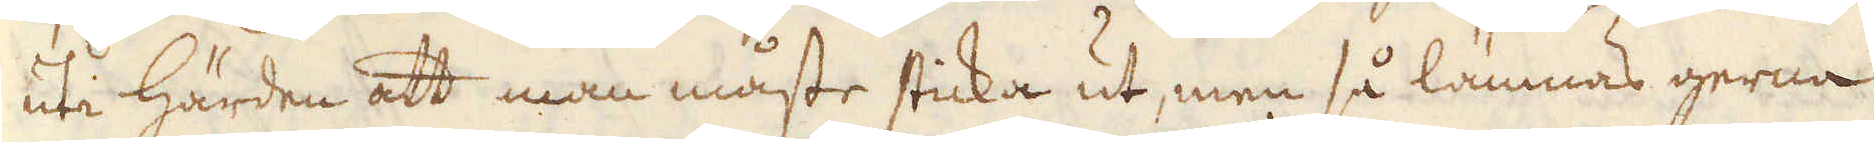uti härden att man måste sticka ut, men så lämnas gerna
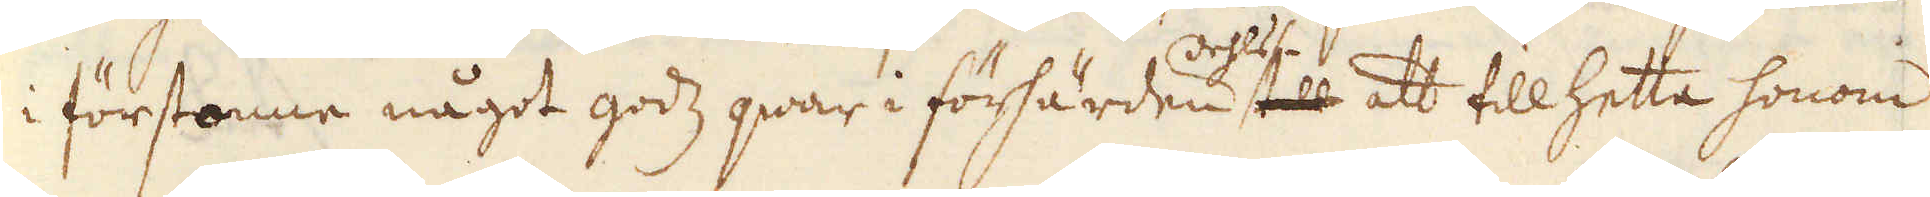i förstonne något godz qwar i förhärden dehls till att till hetta honom
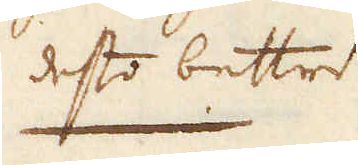desto bettre
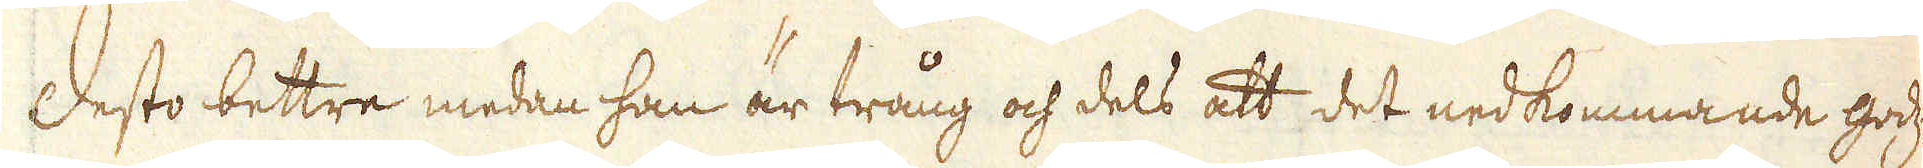Desto bettre medan han är trång och dels att det nedkommande godtzet
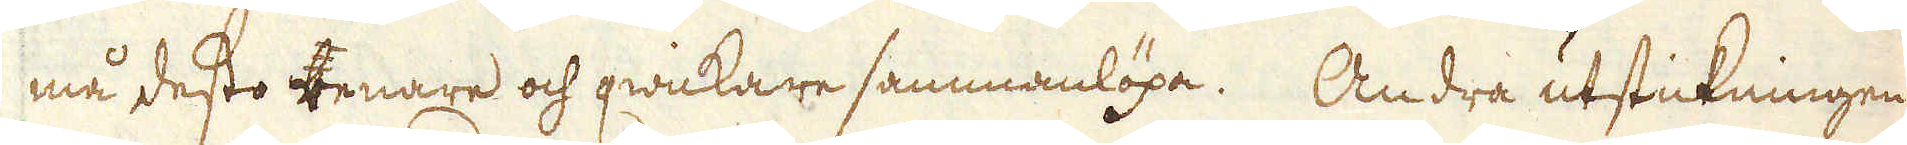må desto benare och qwickare sammanlöpa. Andra utstickningen
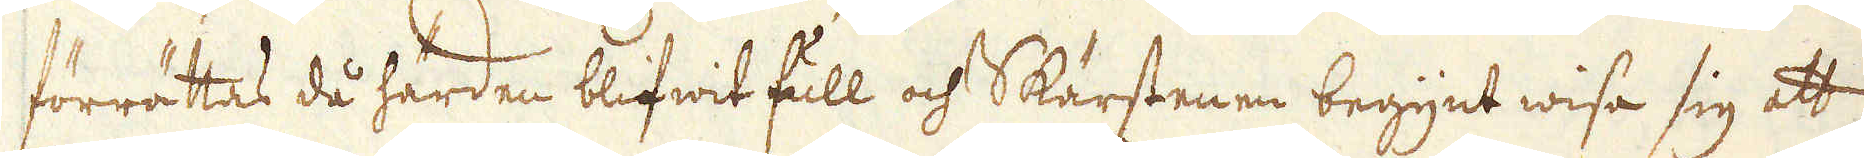förrättas då härden blifwit full och Skärstenen begynt wisa sig att
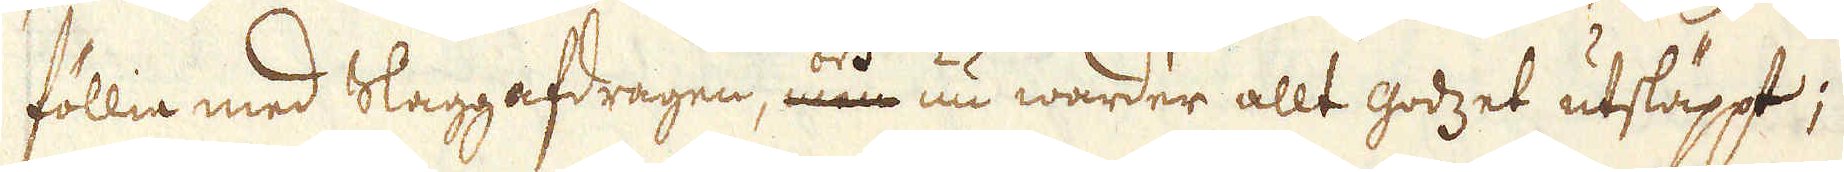föllia med Slaggafdragen, men och nu warder allt godzet utsläppt;
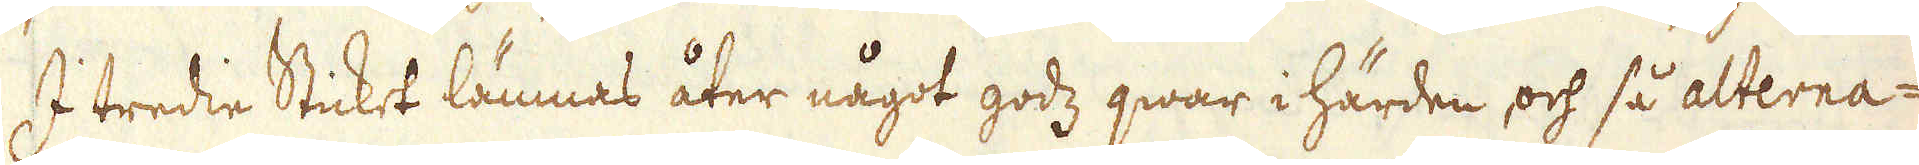I tredie Sticket lämnas åter något godz qwar i härden och så alterna-
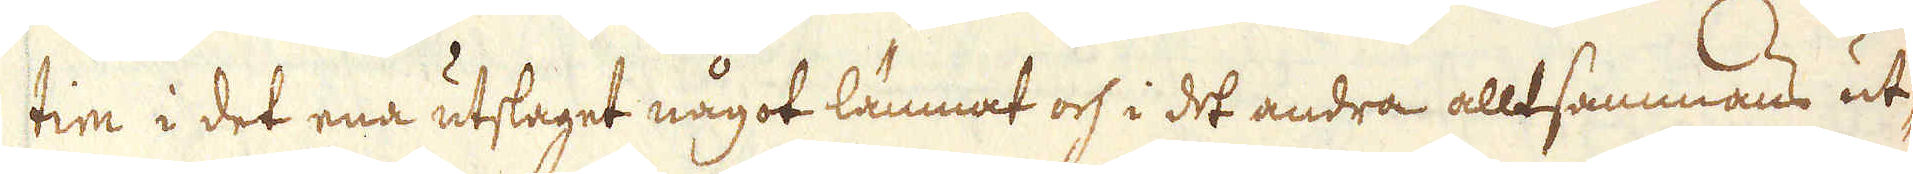tim i det ena utslaget något lämnat och i det andra alltsammans ut-
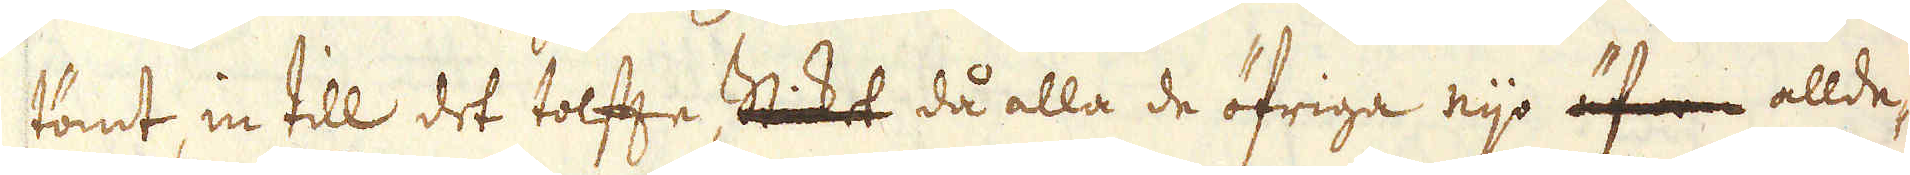tömt, in till det tolfte Stiket då alla de öfriga nijo äfwen allde-
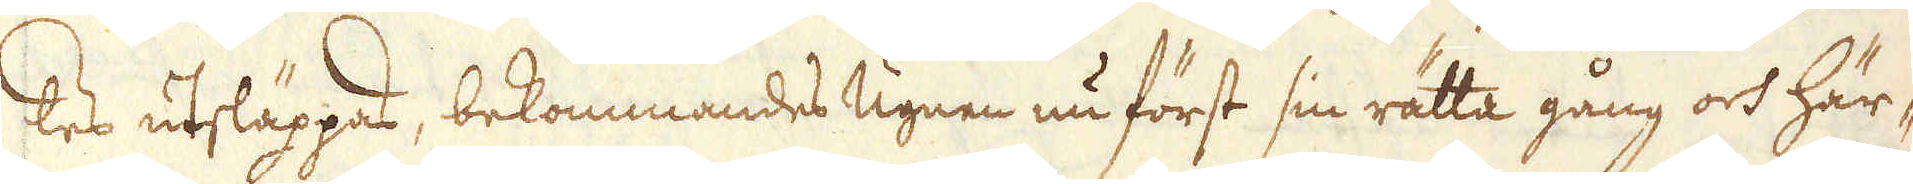les utsläppas, bekommandes ugnen nu först sin rätta gång och här-
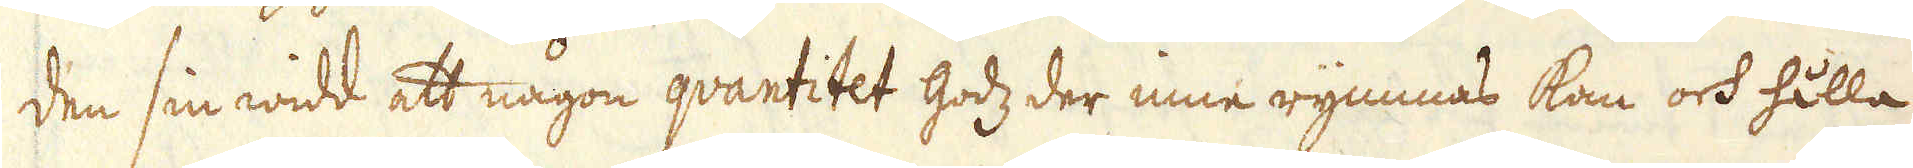den sin widd att någon qvantitet godz der inne rymmas kan och hålla
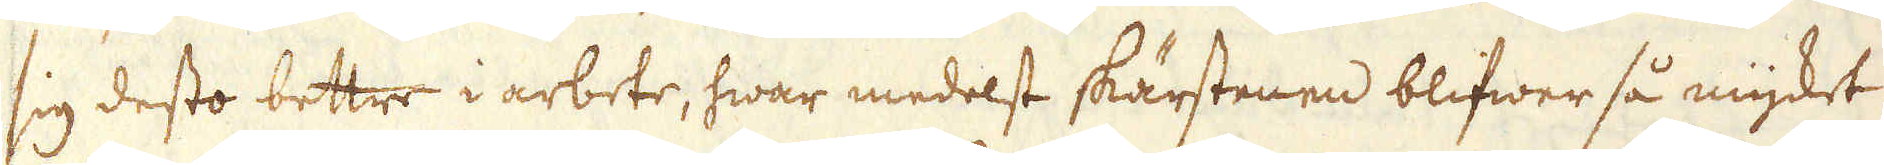sig desto bettre i arbete, hwar medelst skärstenen blifwer så mycket
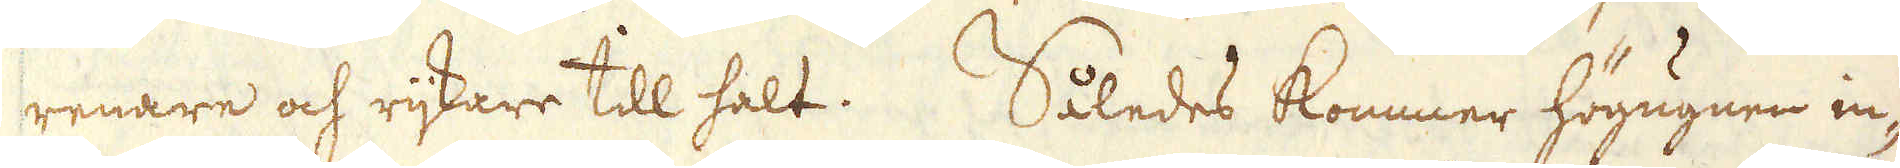renare och rijkare till halt. Således kommer högugnen in-
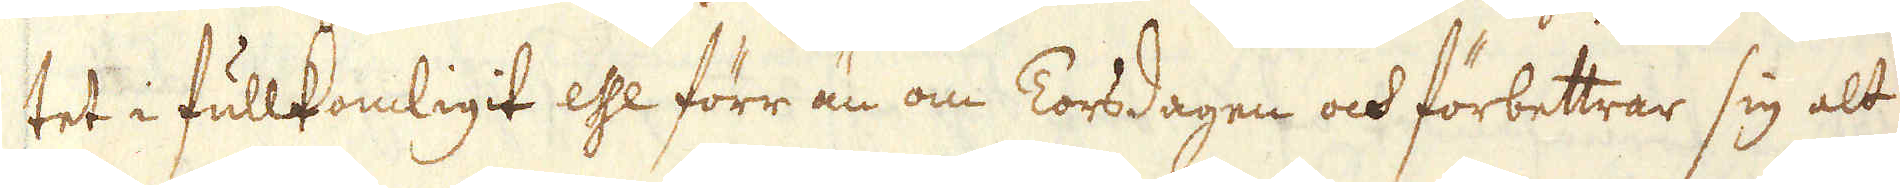tet i fullkomligit esse förr än om Torsdagen och förbettrar sig alt
